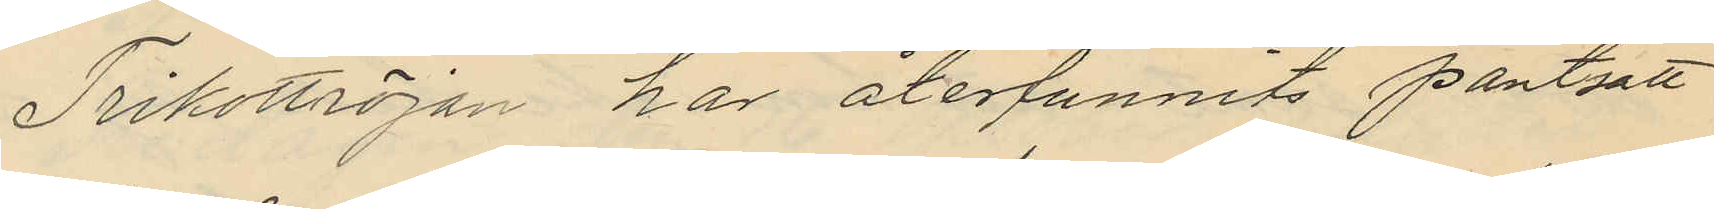Trikottröjan har återfunnits pantsatt
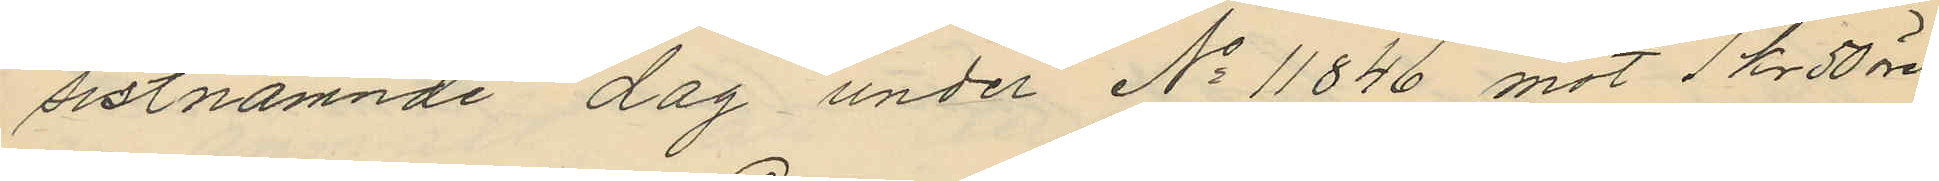sistnämnde dag under No 11846 mot 1 kr 50 öre
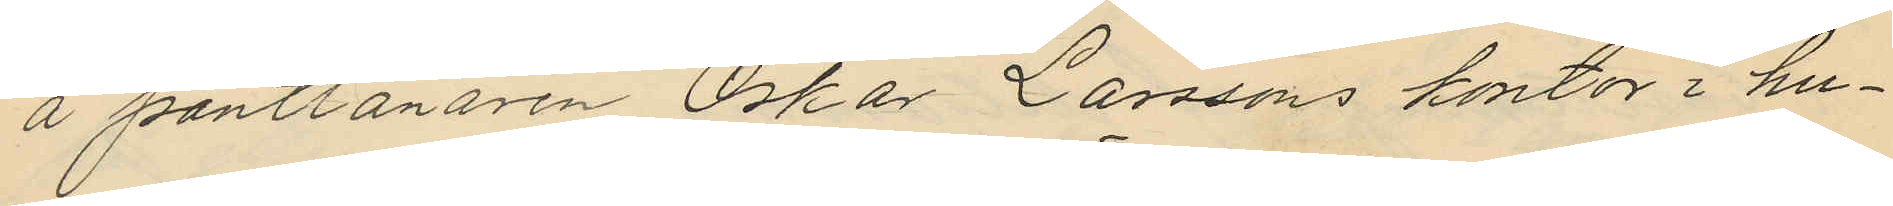å pantlånaren Oskar Larssons kontor i hu¬
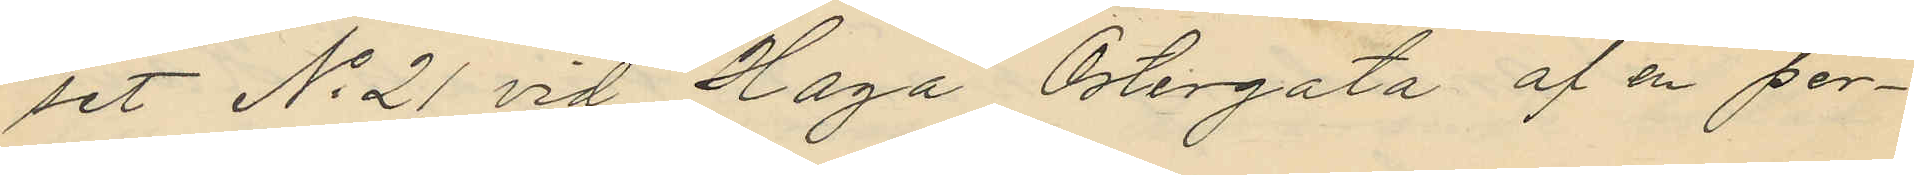set No 21 vid Haga Östergata af en per¬
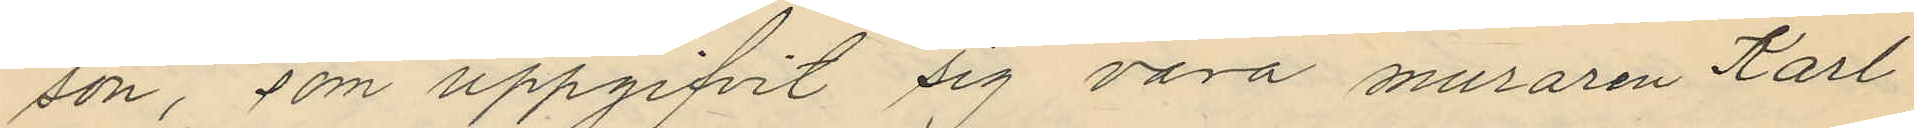son, som uppgifvit sig vara muraren Karl
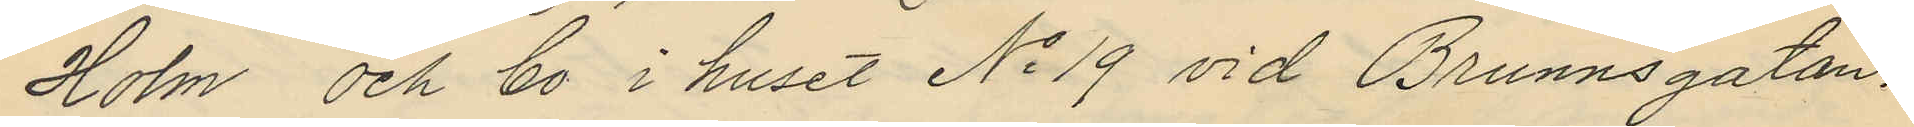Holm och bo i huset No 19 vid Brunnsgatan.
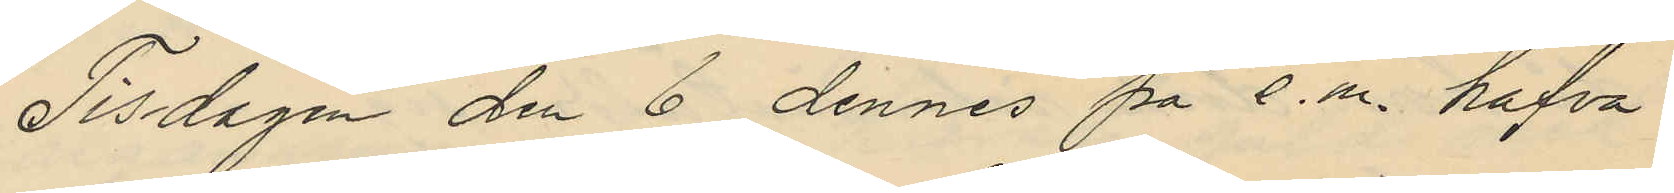Tisdagen den 6 dennes på e.m. hafva
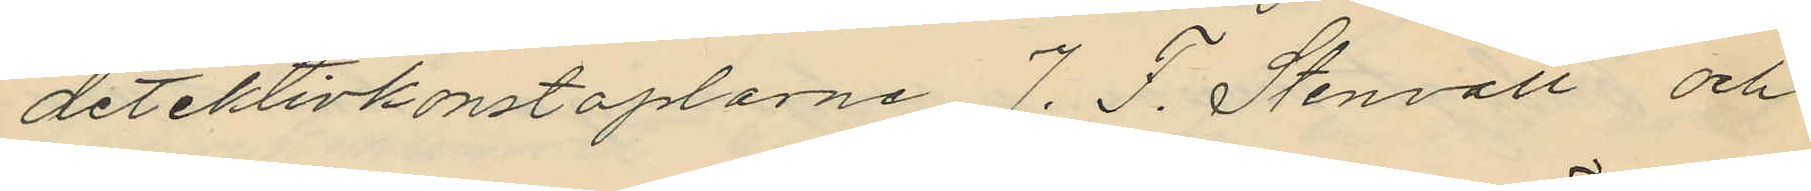detektivkonstaplarne J. F. Stenvall och
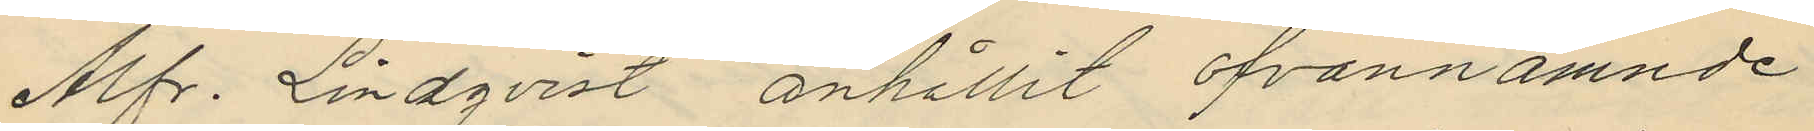Alfr. Lindqvist anhållit ofvannämnde
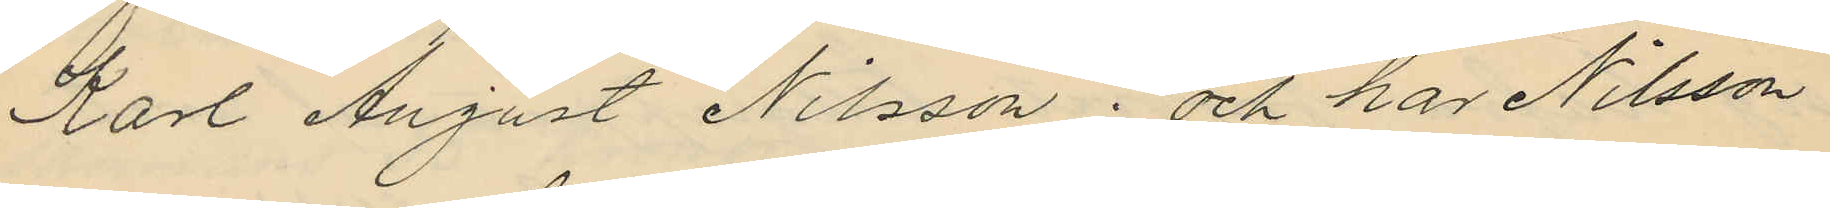Karl August Nilsson; och har Nilsson
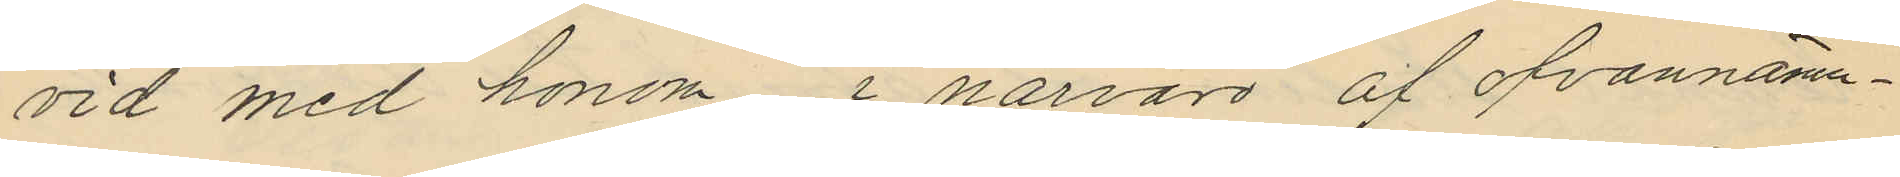vid med honom i närvaro af ofvannämn¬
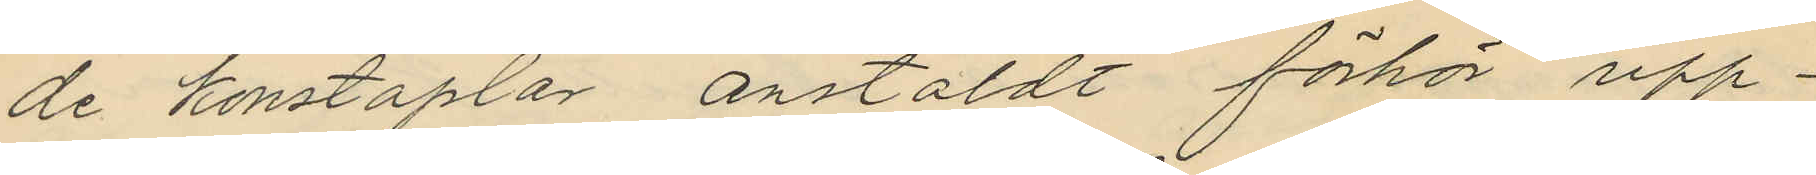de konstaplar anstäldt förhör upp¬
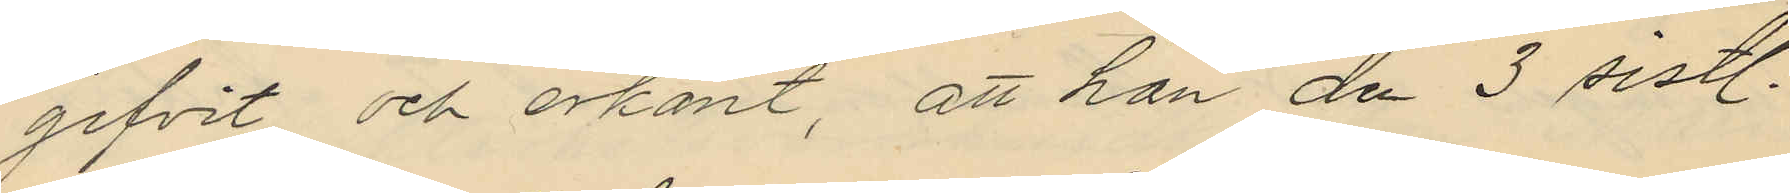gifvit och erkänt, att han den 3 sistl.
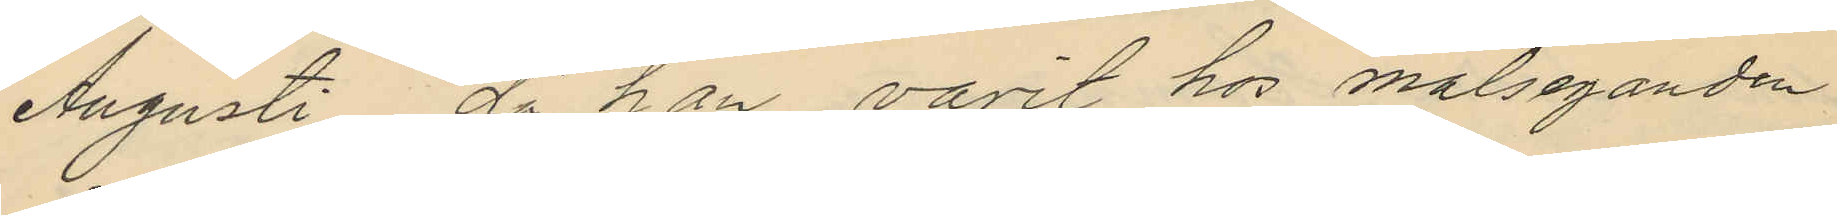Augusti då han varit hos målseganden
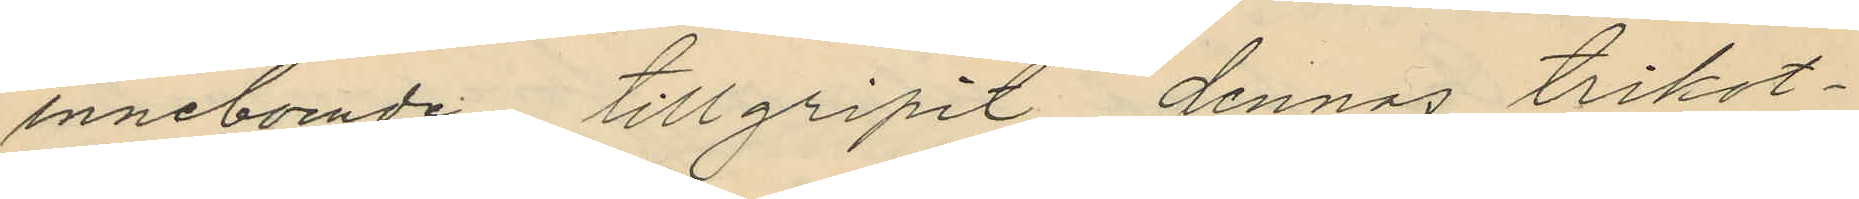inneboende tillgripit dennas trikot¬
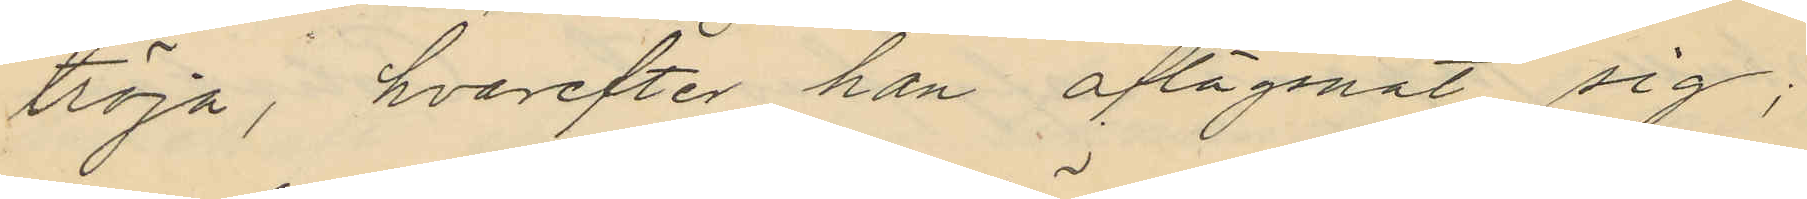tröja, hvarefter han aflägsnat sig;
